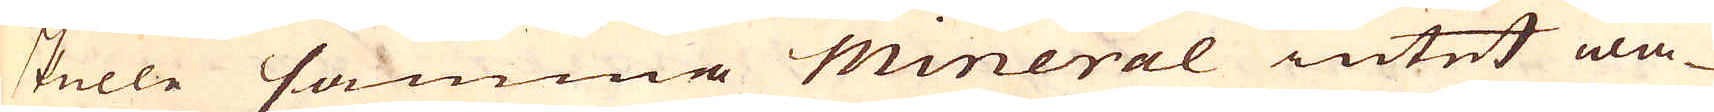skulle samma mineral intet wa-
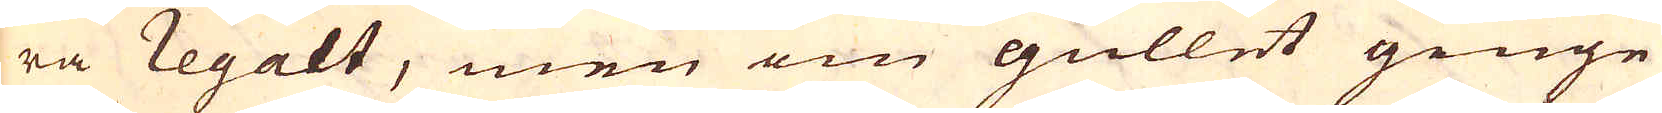ra regalt, men om gullet ginge
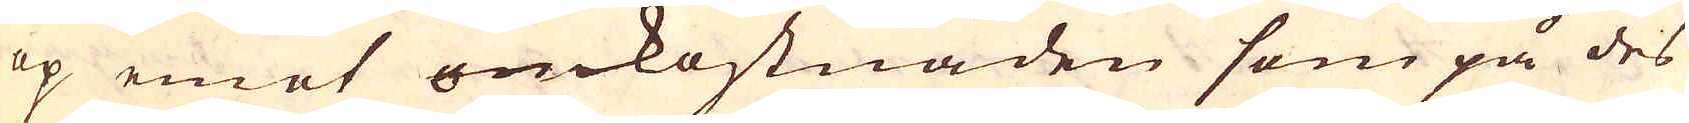op emot omkostnaden som på des
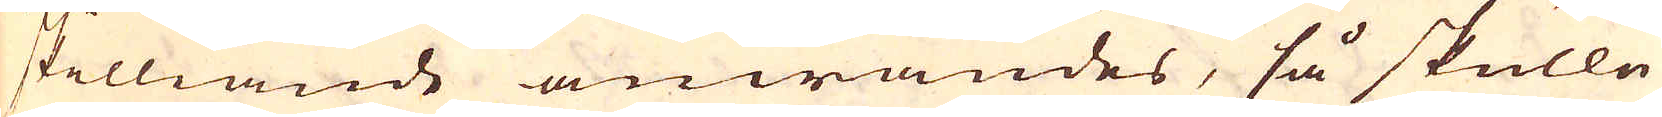skilliande anwändes, så skulle
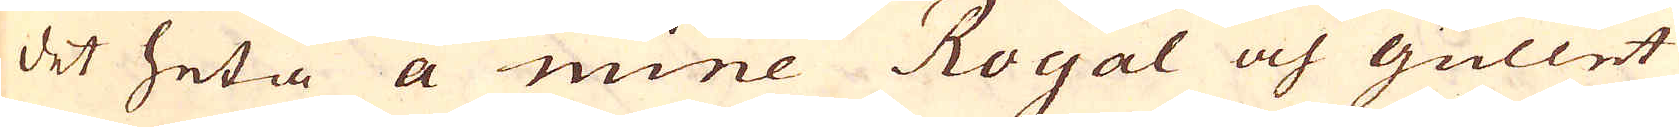det heta a mine Royal och gullet
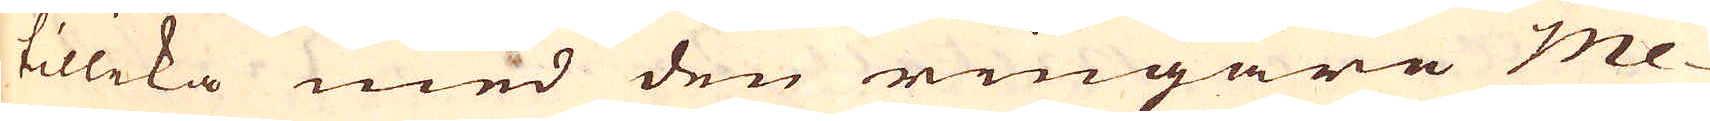tillika med den ringare me-
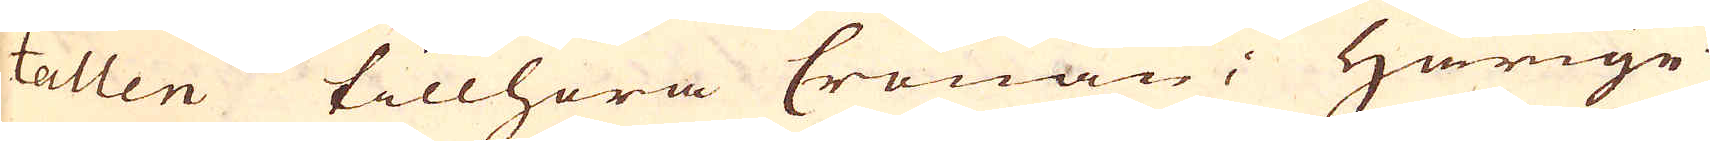tallen tillhöra Cronan; Härige-
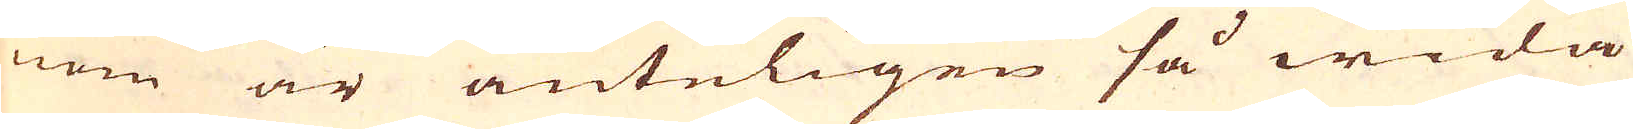nom är änteligen så wida
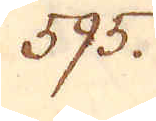595.
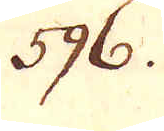596.
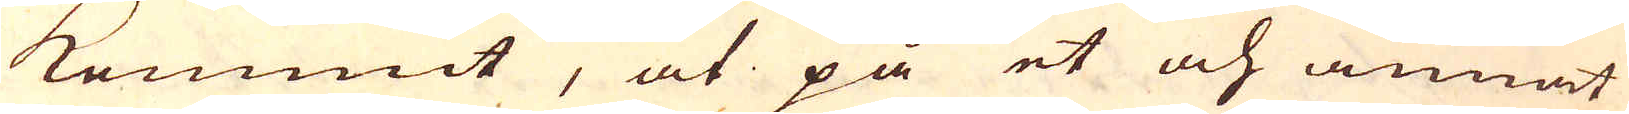kommit, at på et och annat
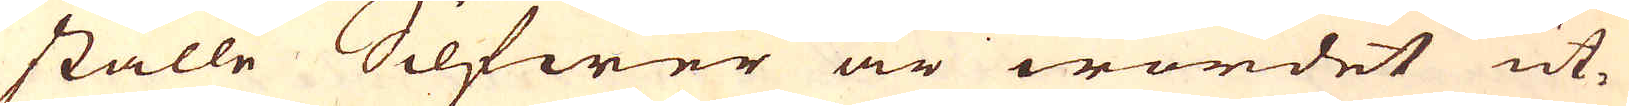ställe Silfwer är wordet ut-
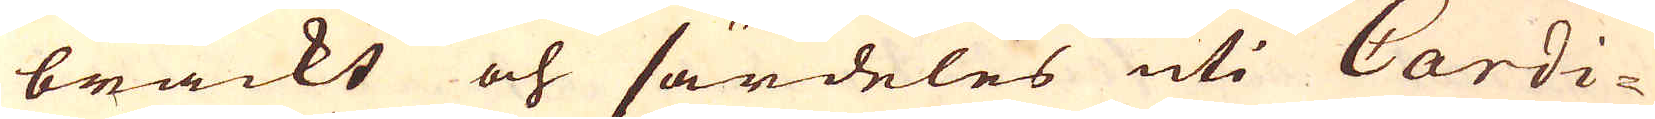brackt och särdeles uti Cardi-
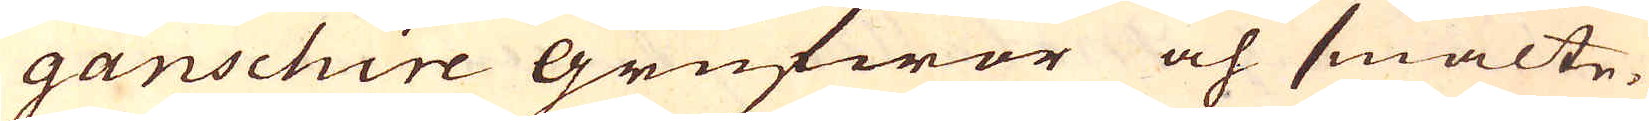ganschire grufwor och smälte-
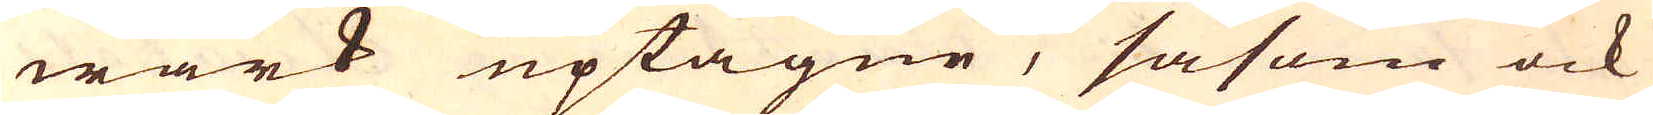wärk uptagne, såsom ock
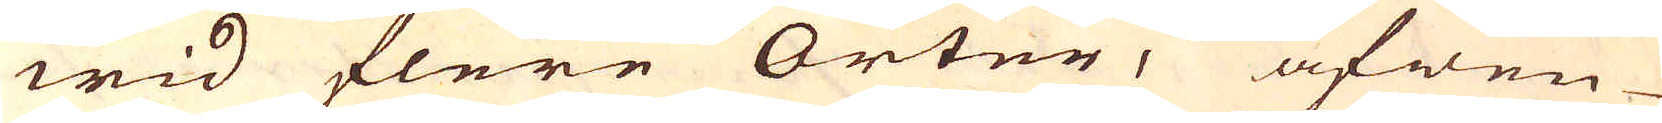wid flere Orter, äfwen
